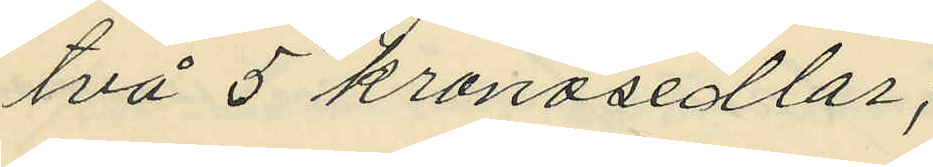två 5 kronosedlar;
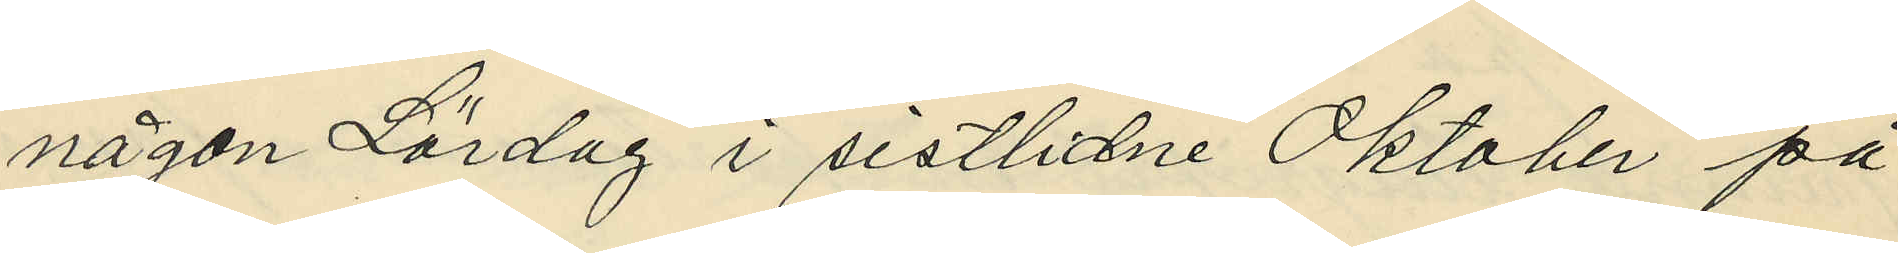någon Lördag i sistlidne Oktober på
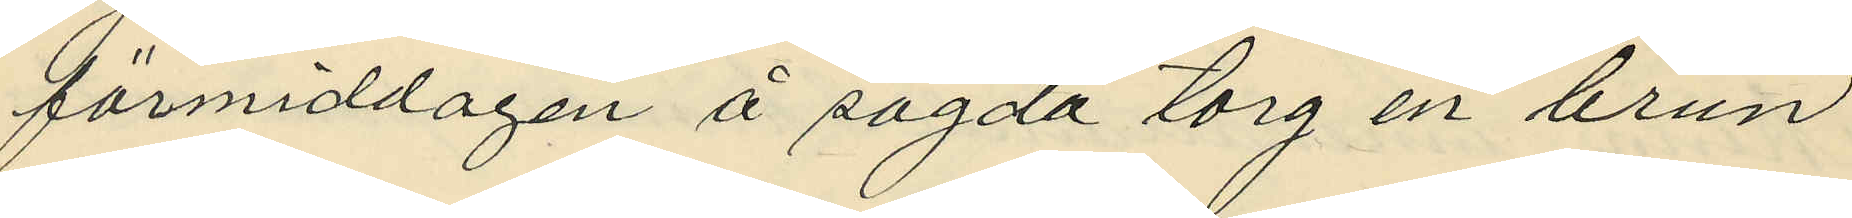förmiddagen å sagda torg en brun
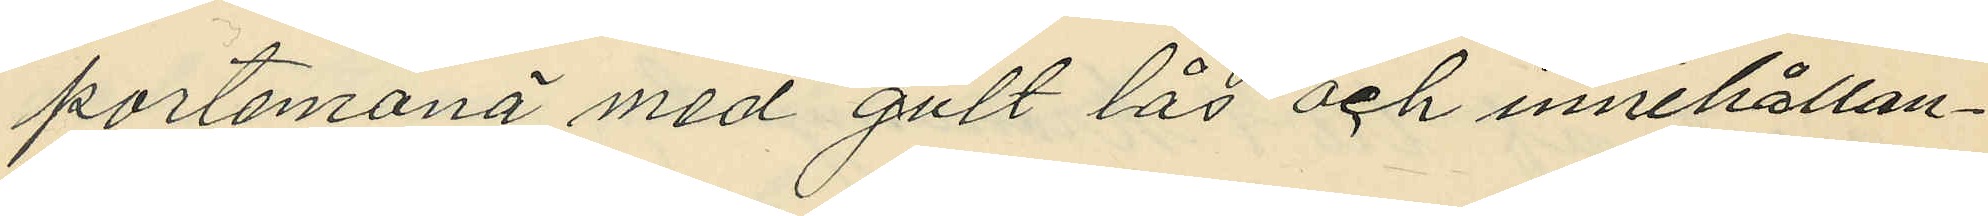portemonä med gult lås och innehållan¬
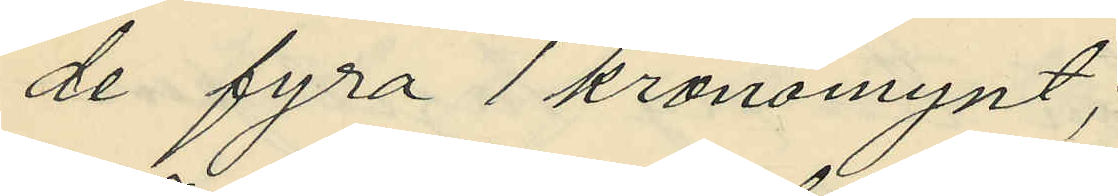de fyra 1 kronomynt;
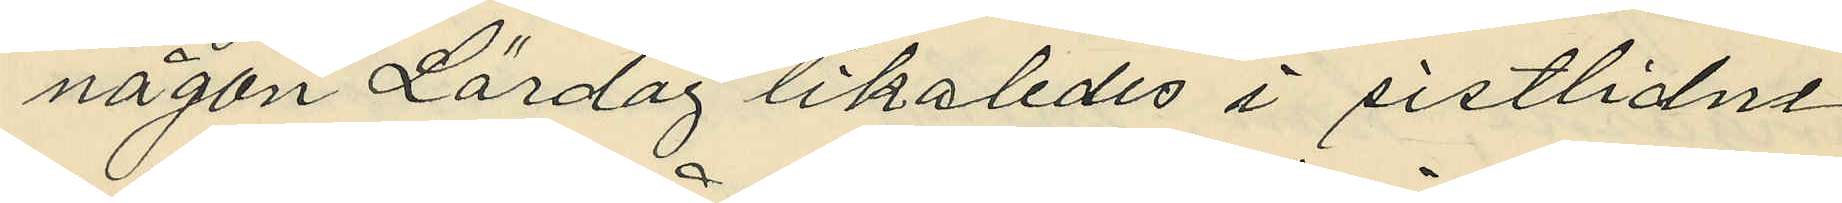någon Lördag likaledes i sistlidne
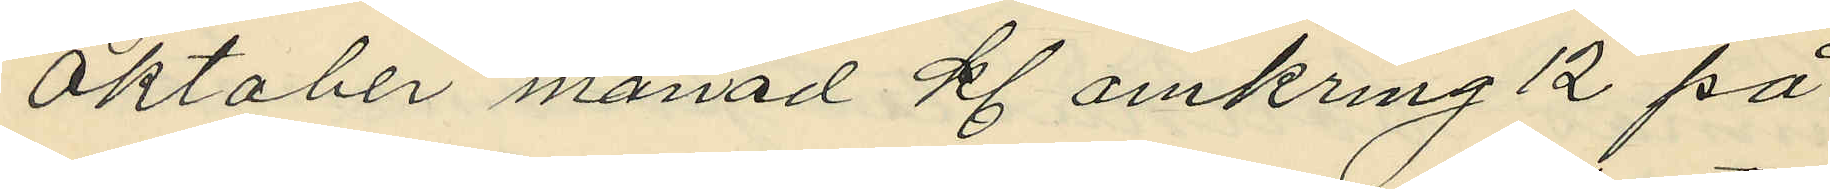Oktober månad kl. omkring 12 på
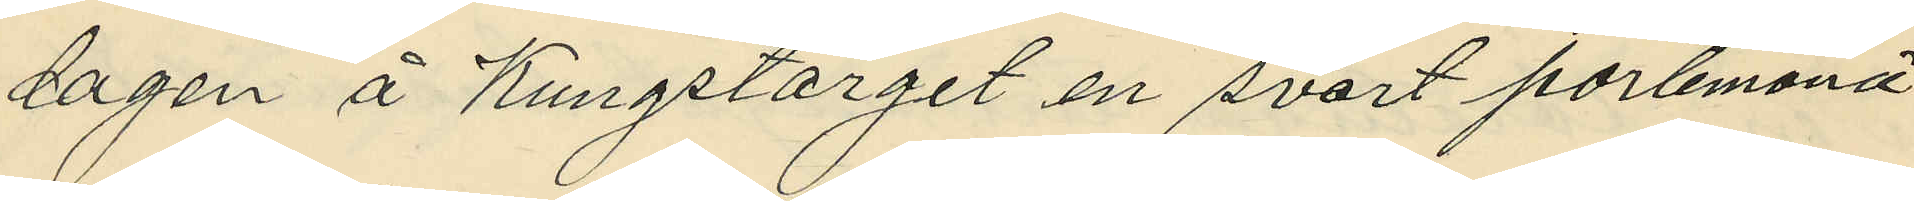dagen å Kungstorget en svart portemonä
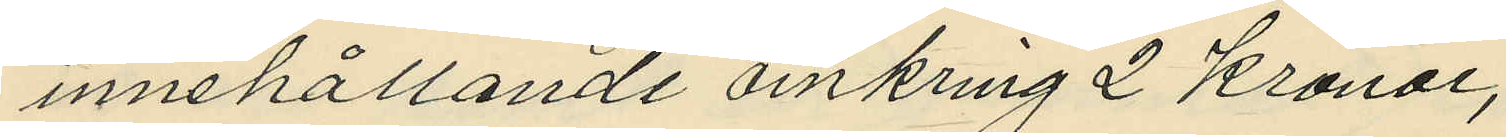innehållande omkring 2 kronor;
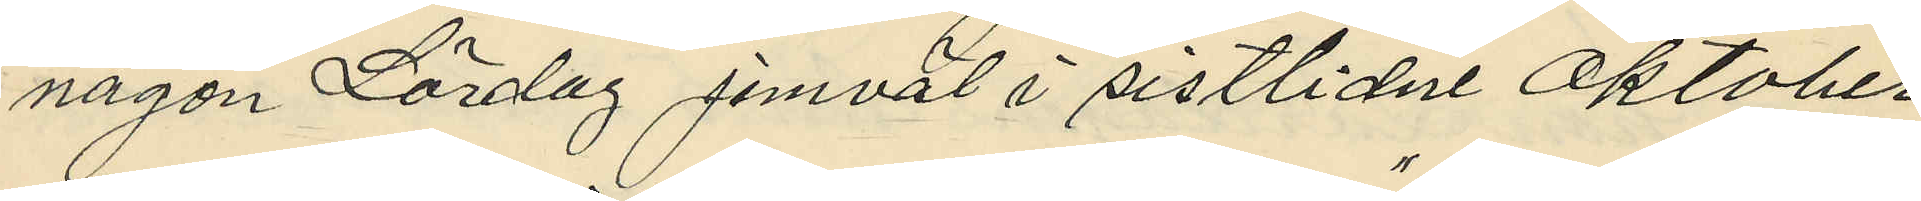någon Lördag jemväl i sistlidne Oktober
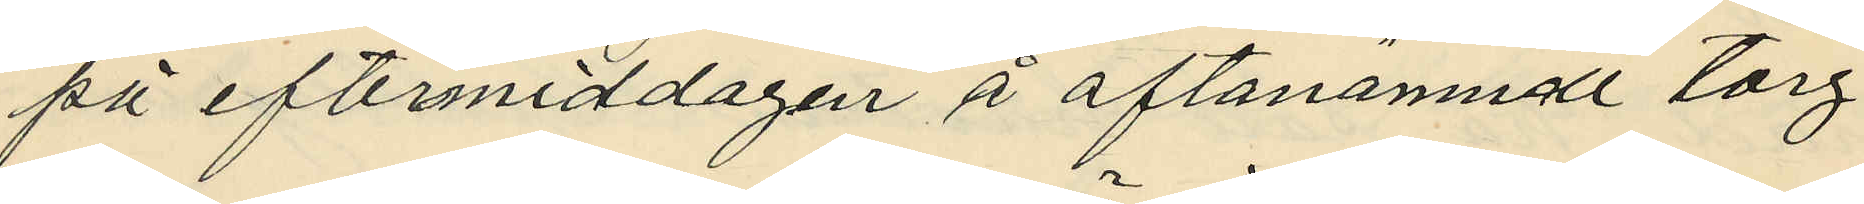på eftermiddagen å oftanämnde torg,
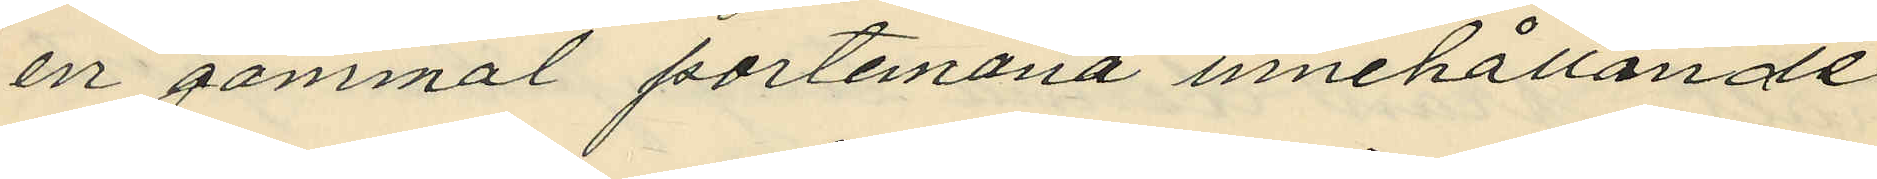en gammal portemonä innehållande
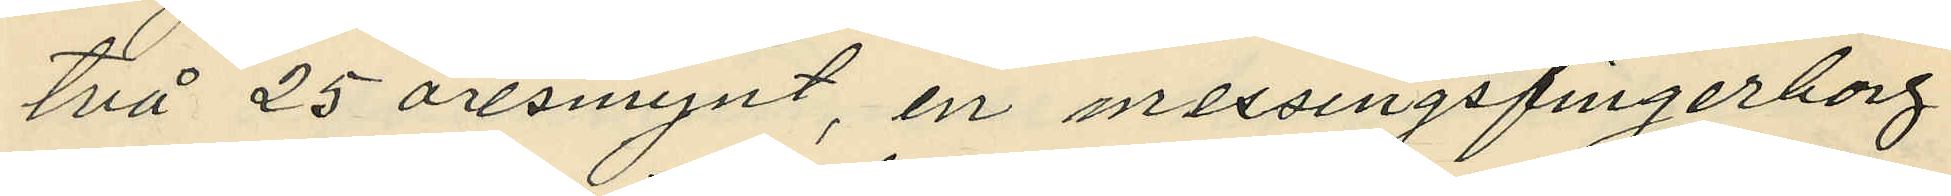två 25 öresmynt, en messingsfingerborg
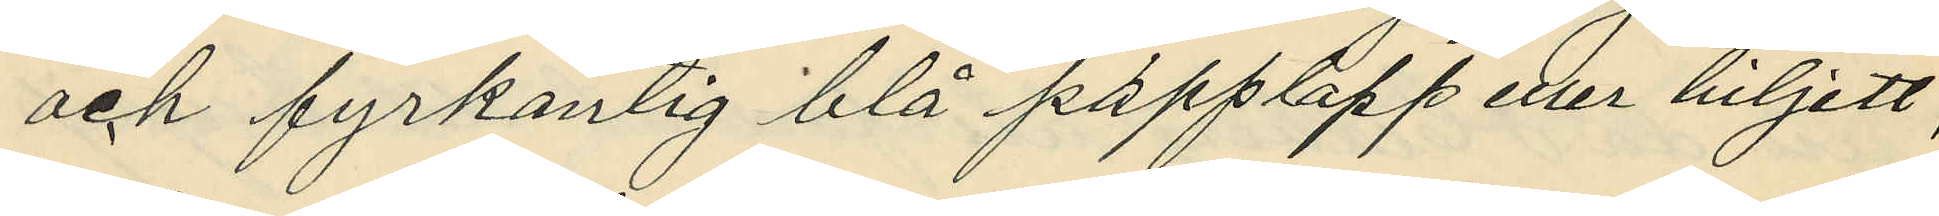och fyrkantig blå papplapp eller biljett,
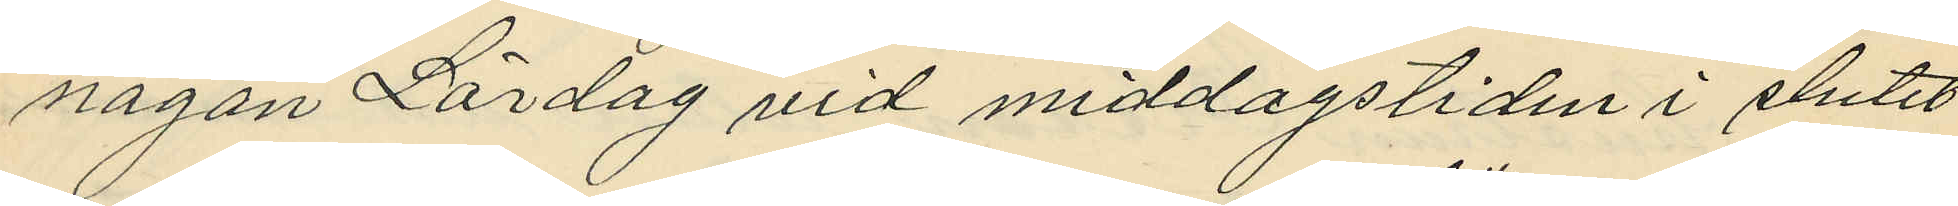någon Lördag vid middagstiden i slutet
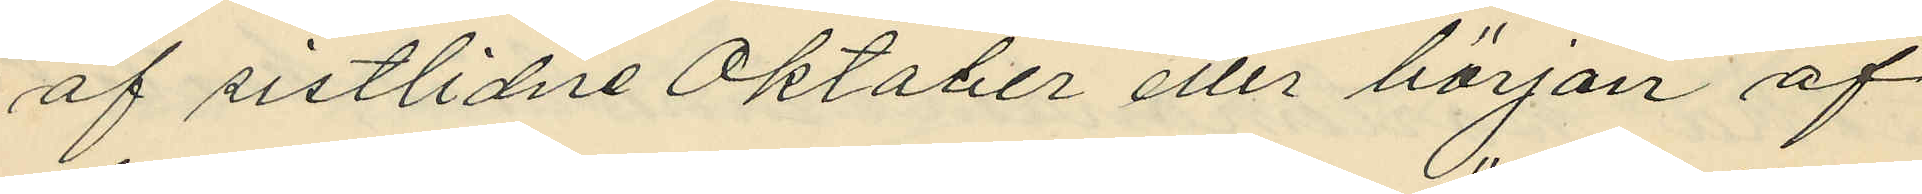af sistlidne Oktober eller början af
